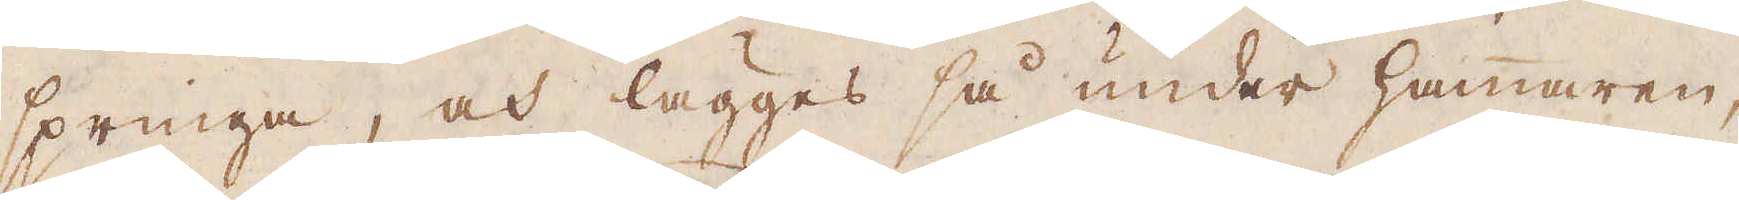springa, och lägges så under hammaren,
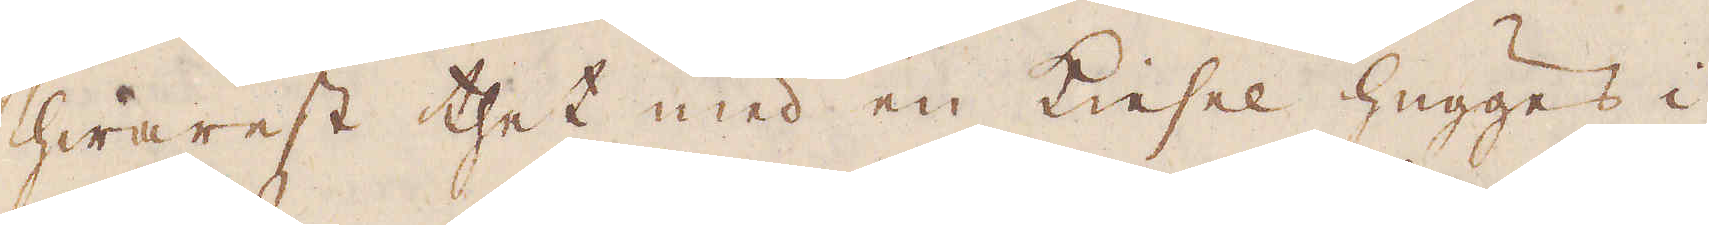hwarest thet med en Kiesel hugges i
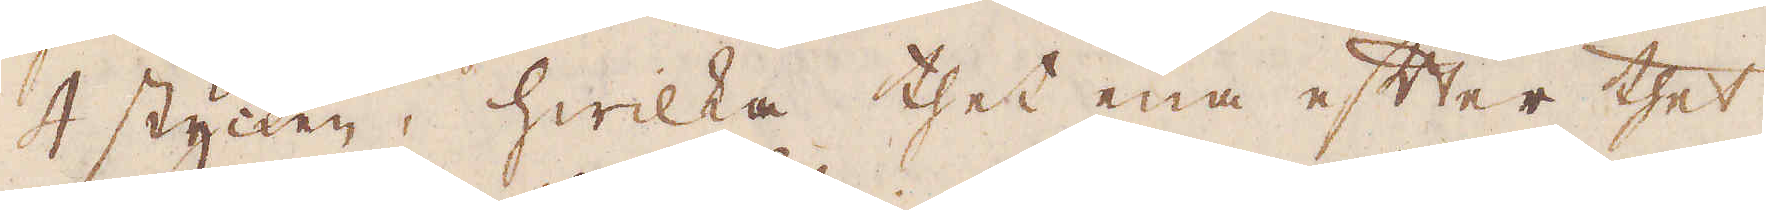4 stycken, hwilka thet ena efter thet
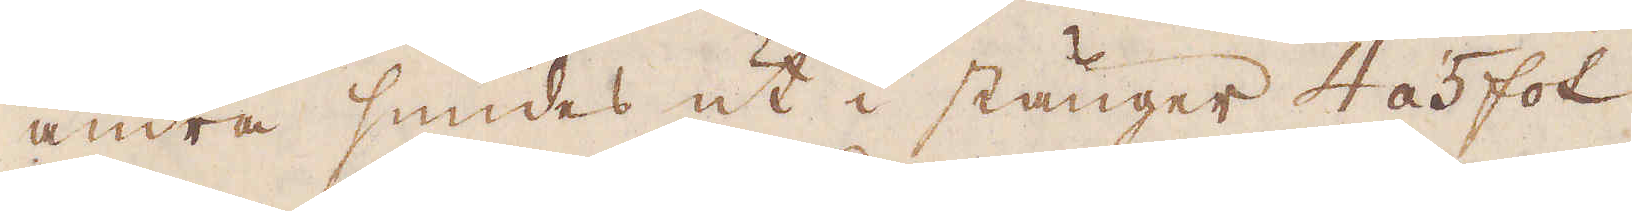andra smides ut i stänger 4 á 5 fot
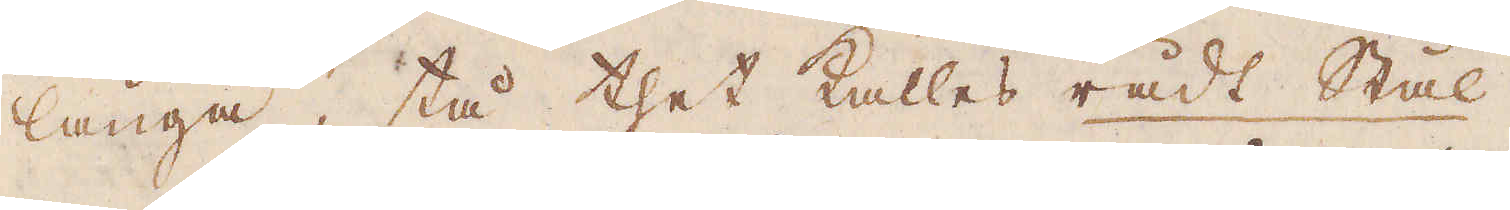långa, tå thet kallas rådt Stål.
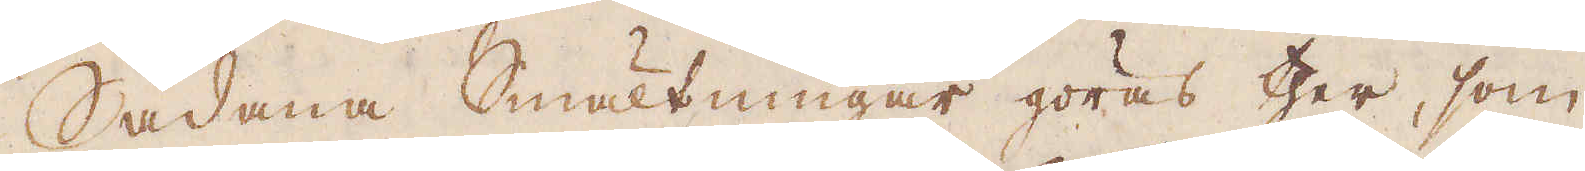Sådana Smältningar göras ther, som
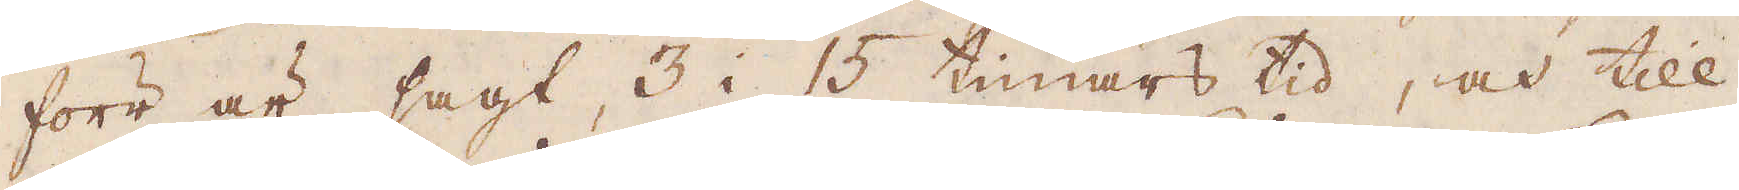förr är sagt, 3 i 15 timars tid, och till
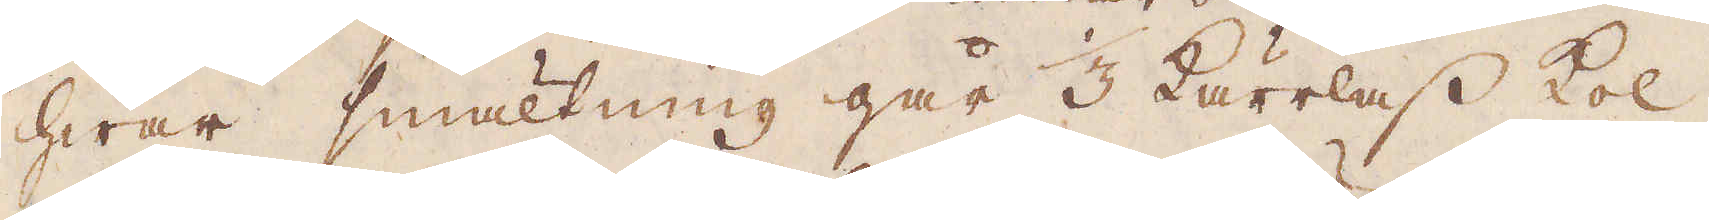hwar smältning går 1/3 kärrlass kol,
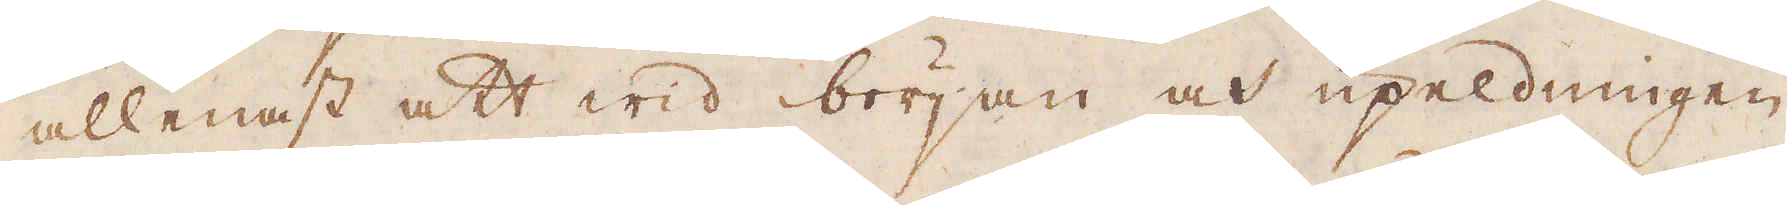allenast att wid början och upeldningen
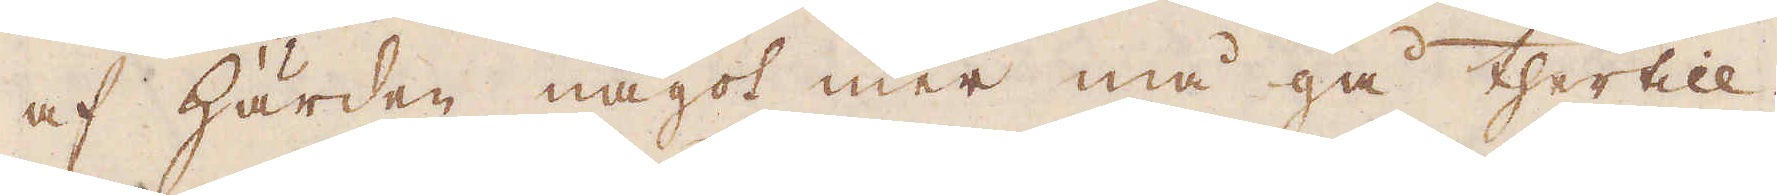af härden något mer må gå thertill.
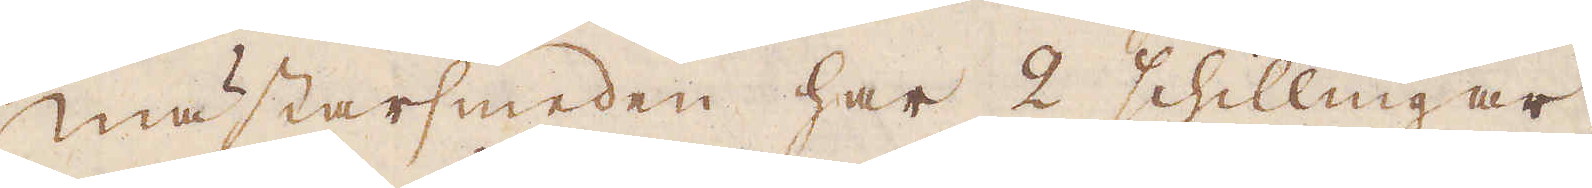Mästarsmeden har 2 schillingar,
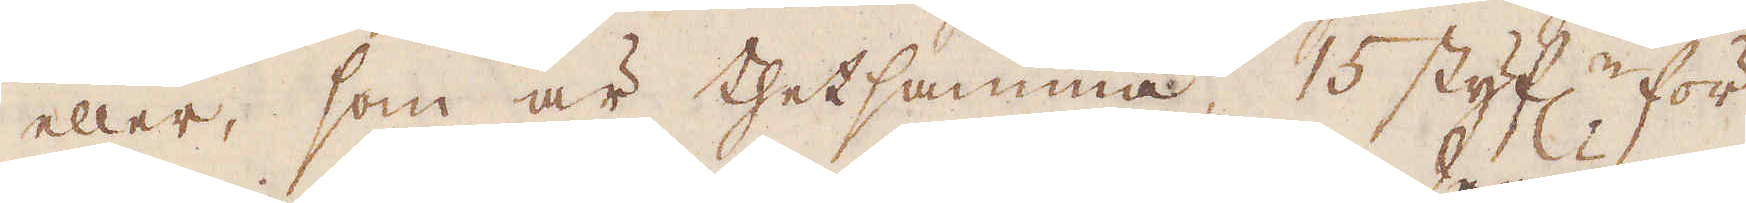eller, som är thetsamma, 15 styf:r för
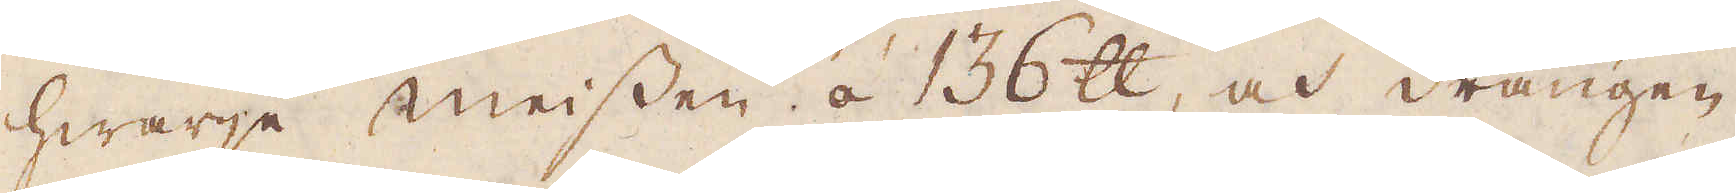hwarje meissen á 136 skålpund, och drängen
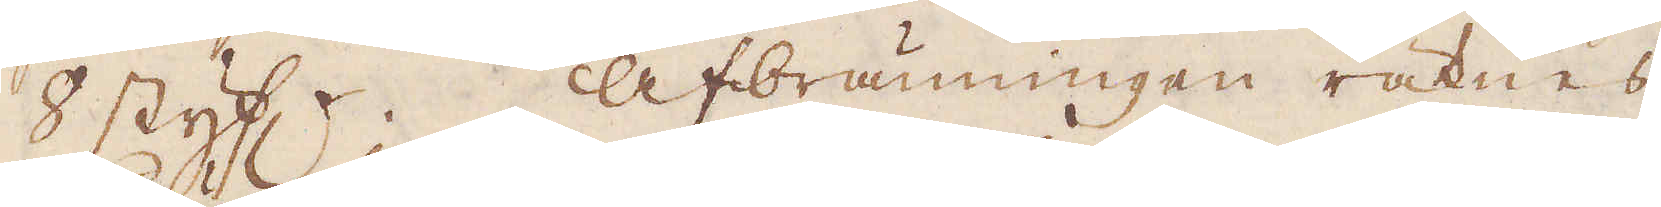8 styf:r. Afbränningen räknes
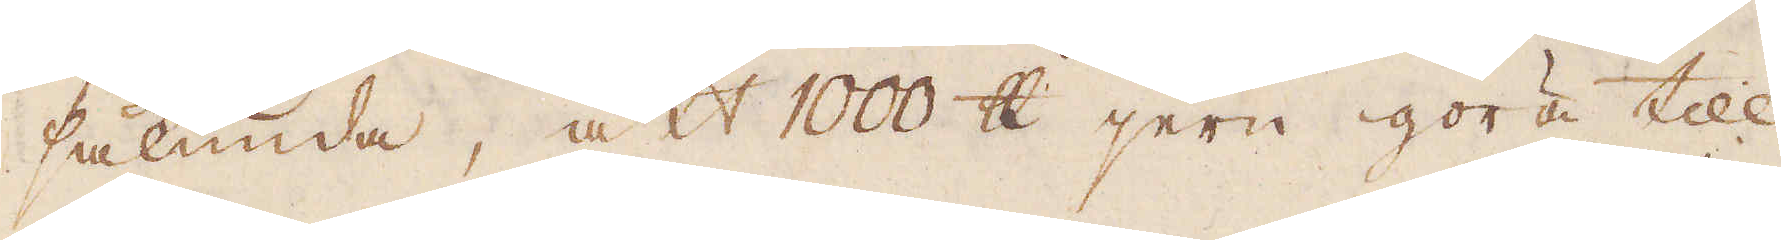sålunda, att 1000 skålpund jern göra till
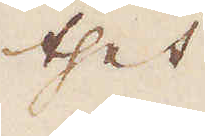thet
